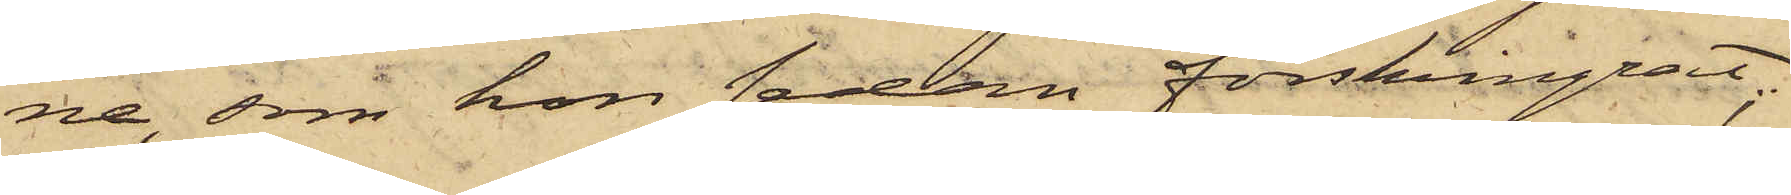ne, som hon sedan förskingrat;
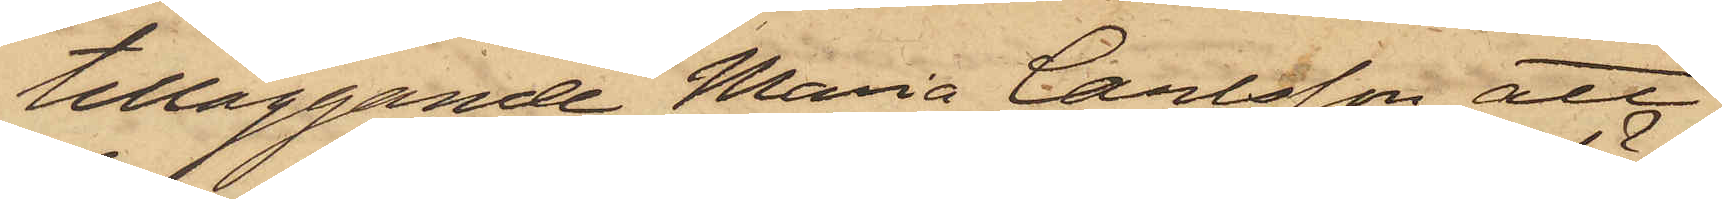tilläggande Maria Carlsson, att
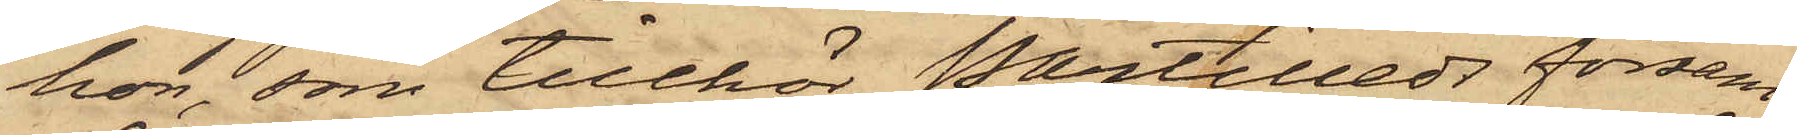hon, som tillhör Partilleds försam¬
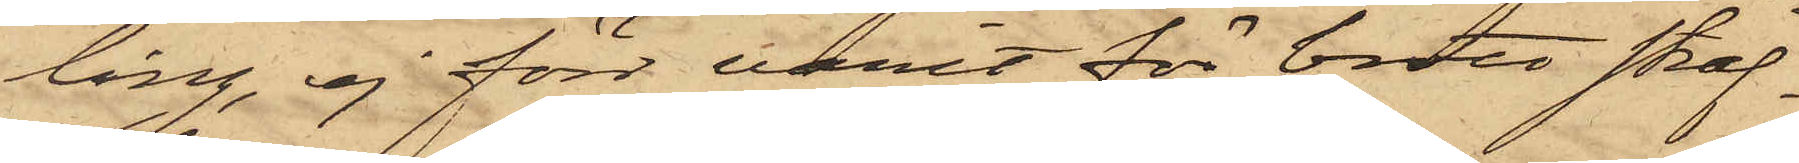ling, ej förr varit för brott straf¬
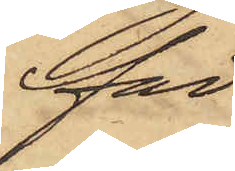fad.
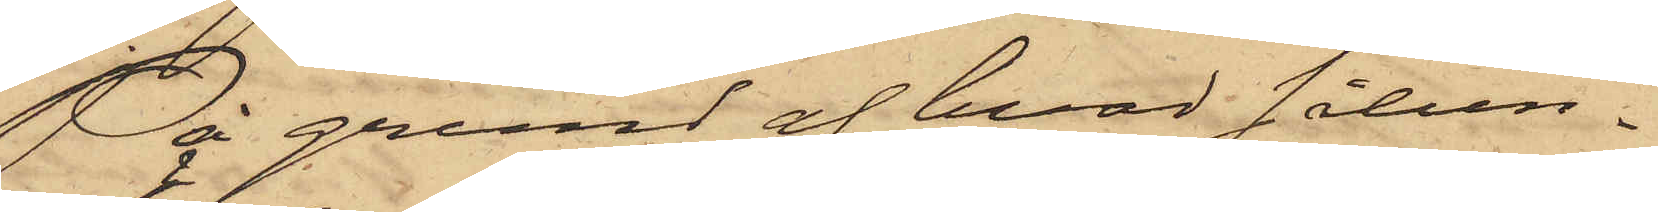På grund af hvad sålun¬
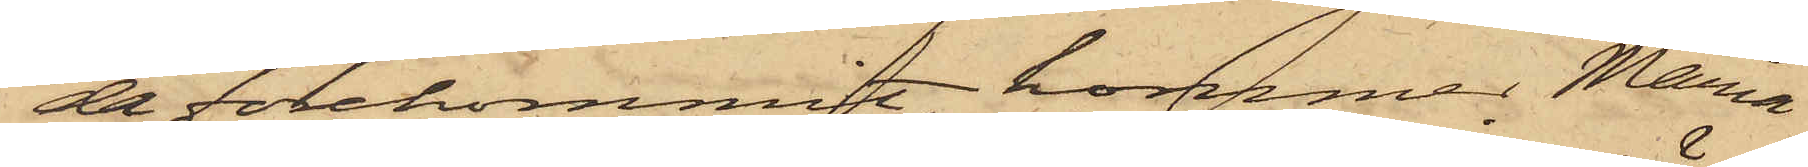da förekommit, kommer Maria
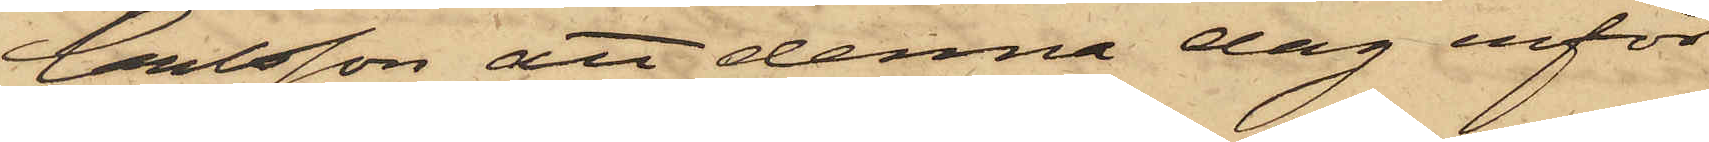Carlsson att denna dag inför
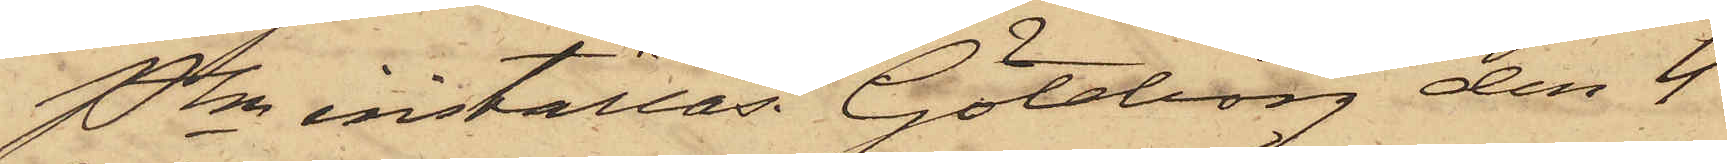Pkn inställas. Göteborg den 4
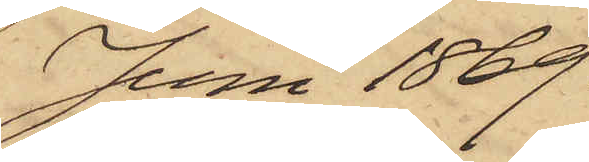Juni 1869.
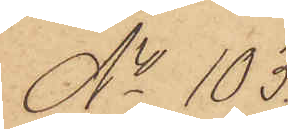No 103.
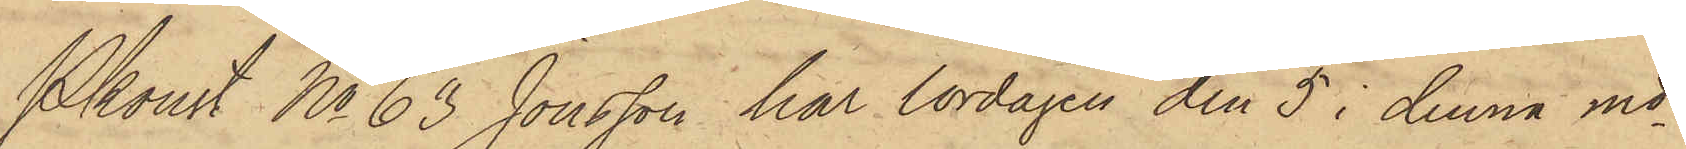Pkonst No 63 Jonsson har lördagen den 5 i denna md
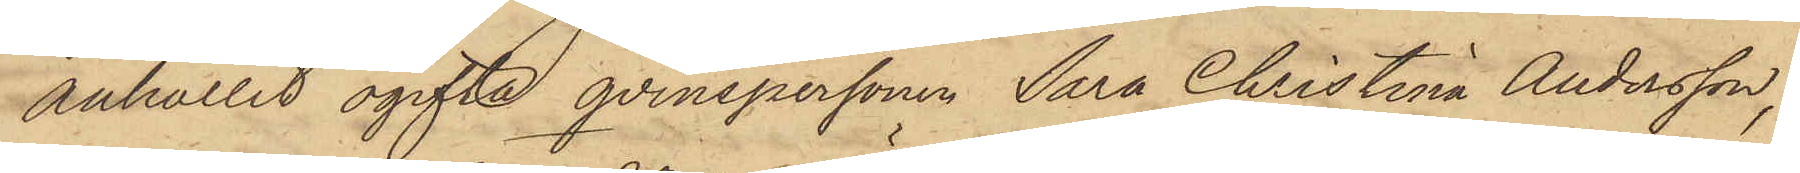anhållit ogifta qvinspersonen Sara Christina Andersson,
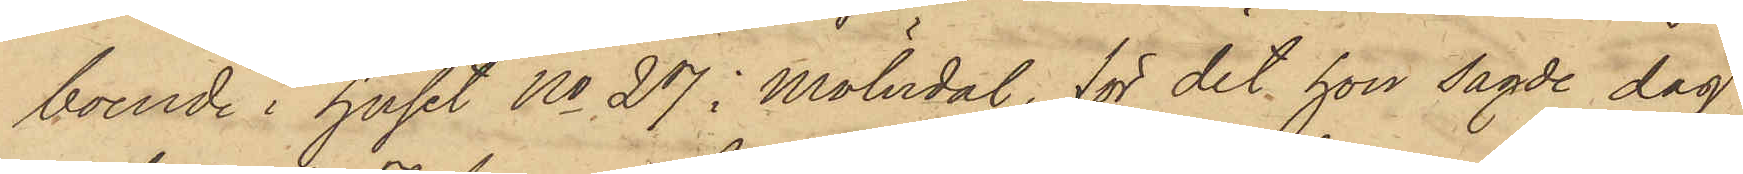boende i huset No 27 i Mölndal, för det hon sagde dag
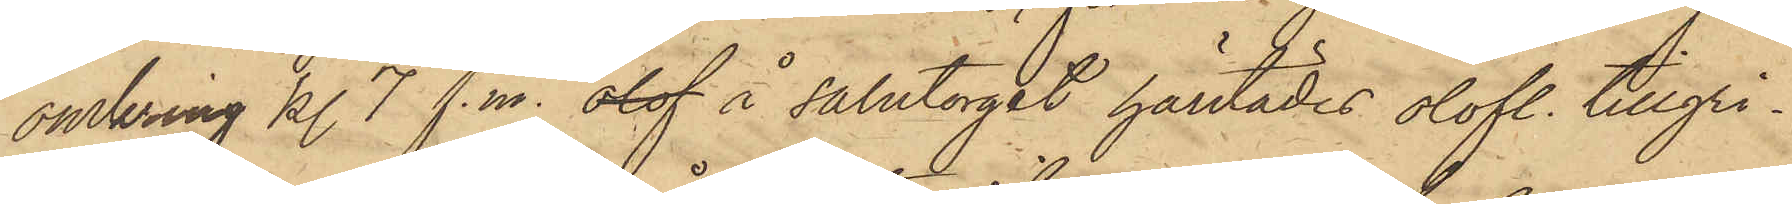omkring kl. 7 f.m. olof å salutorget härstädes olofl. tillgri¬
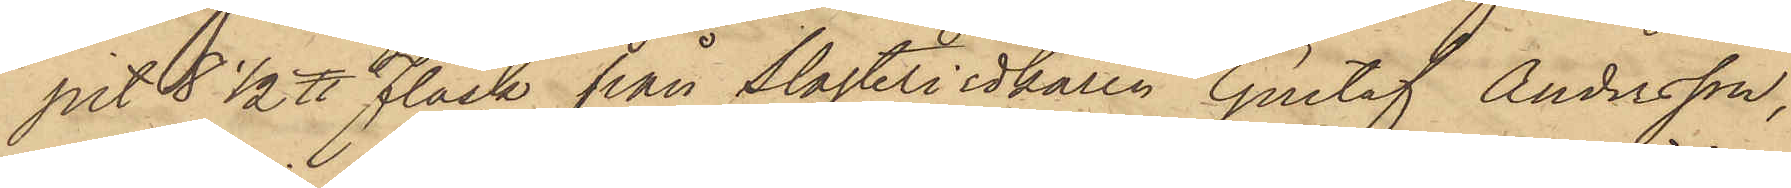pit 8 1/2 ℔ Fläsk från Slagteriidkaren Gustaf Andersson,
